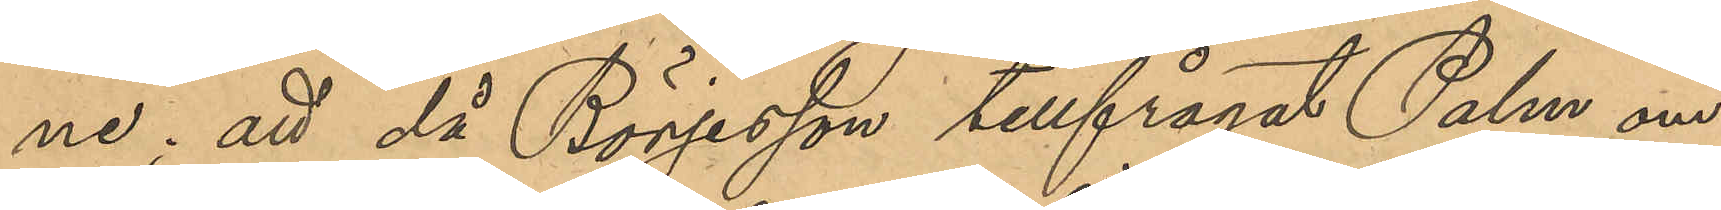ne; att då Börjesson tillfrågat Palm om
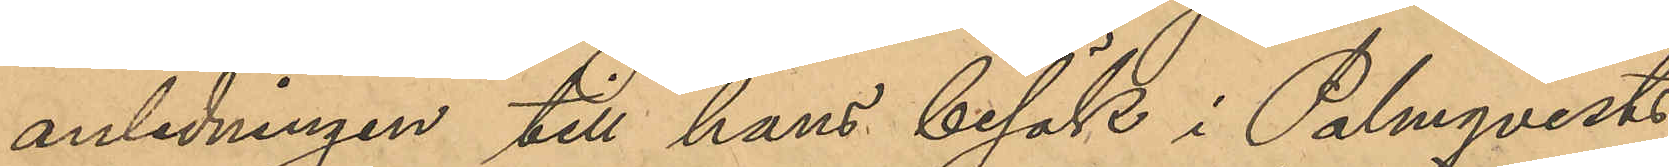anledningen till hans besök i Palmqvists
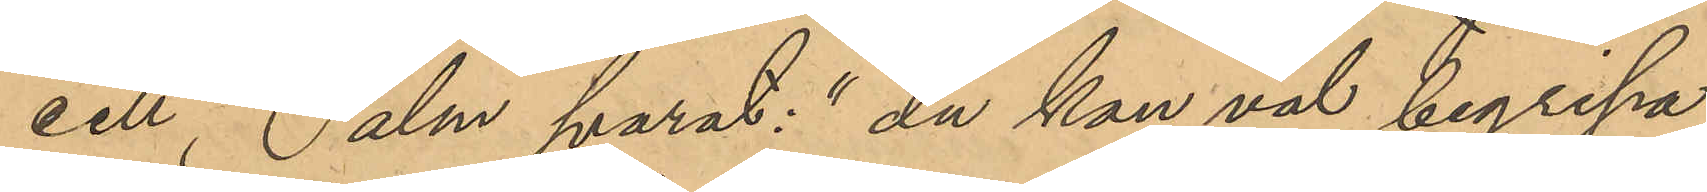cell, Palm svarat: "du kan väl begripa
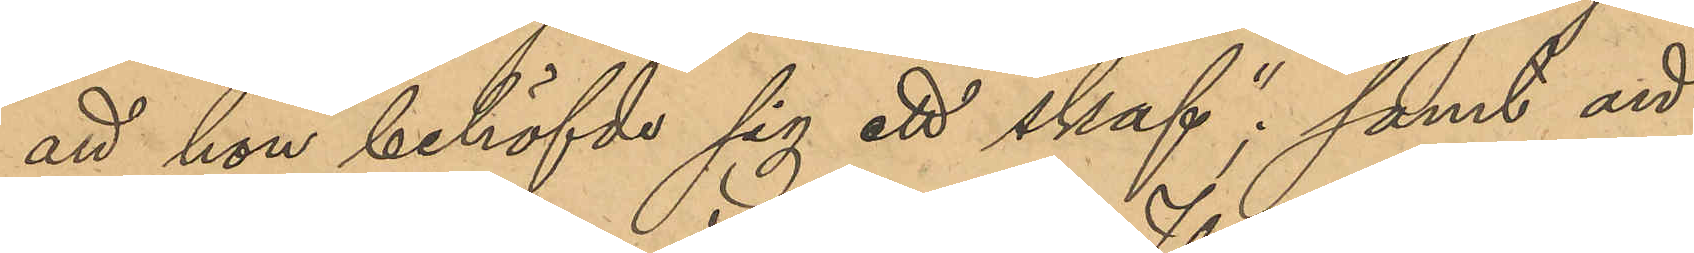att hon behöfvde sig ett straf"; samt att
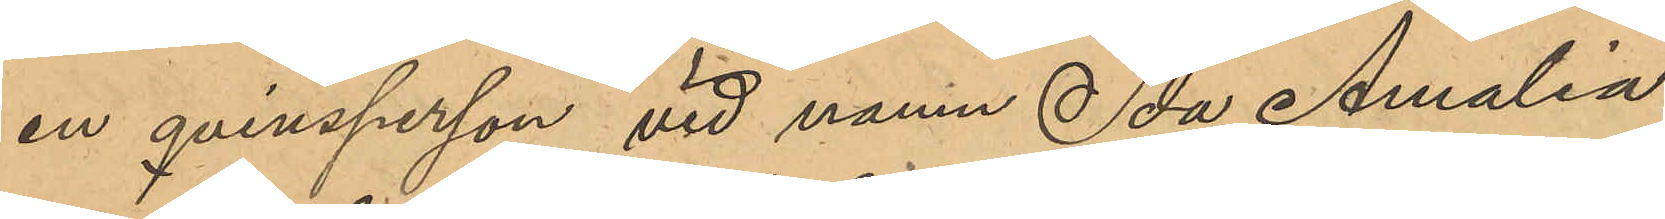en qvinsperson vid namn Ida Amalia
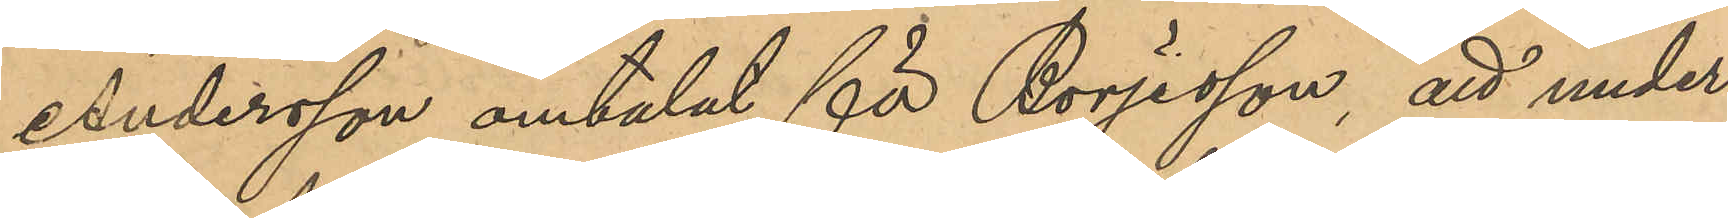Andersson omtalat för Börjesson, att under
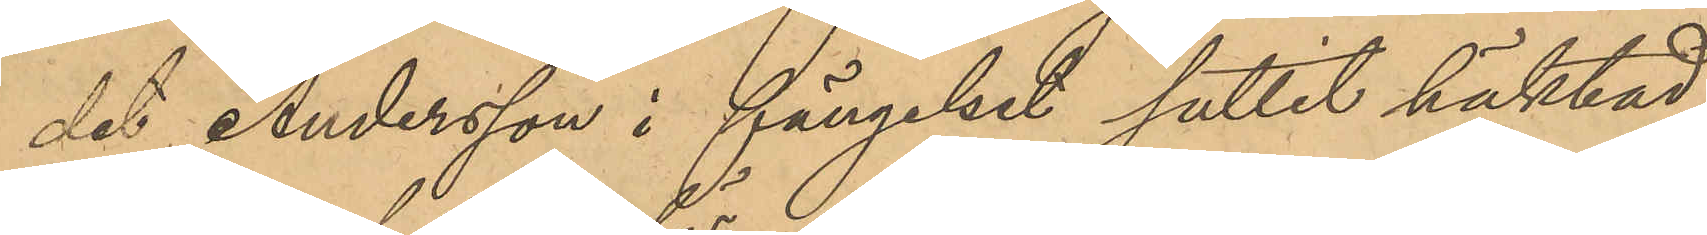det Andersson i fängelset suttit häktad
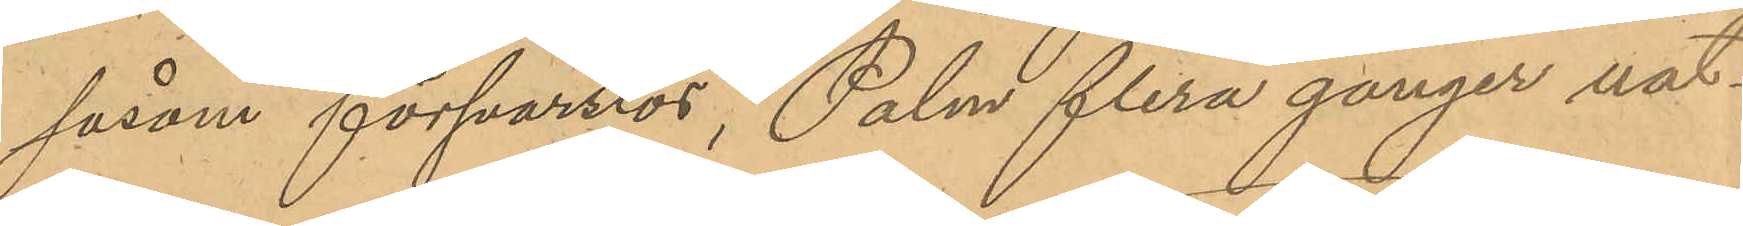såsom försvarslös, Palm flera gånger nat¬
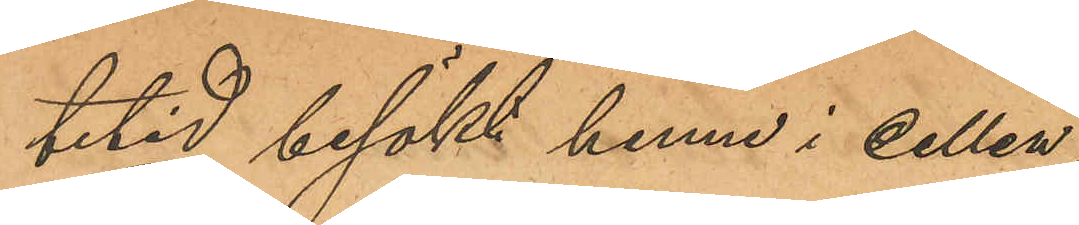tetid besökt henne i cellen;
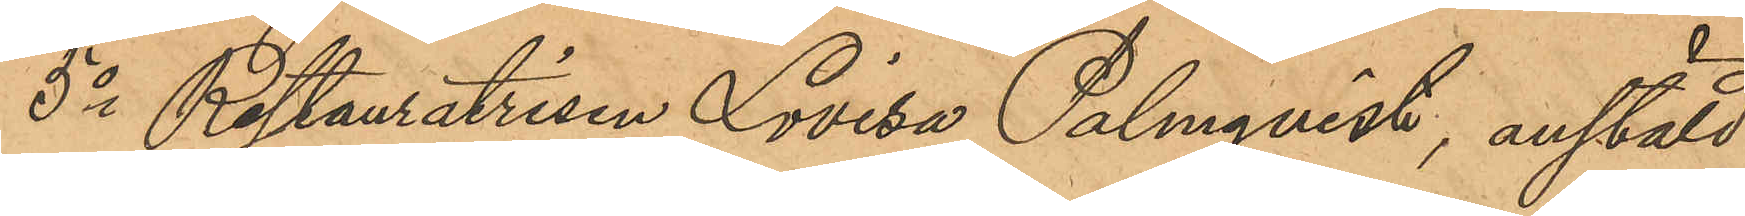5o Restauratrisen Lovisa Palmqvist, anstäld
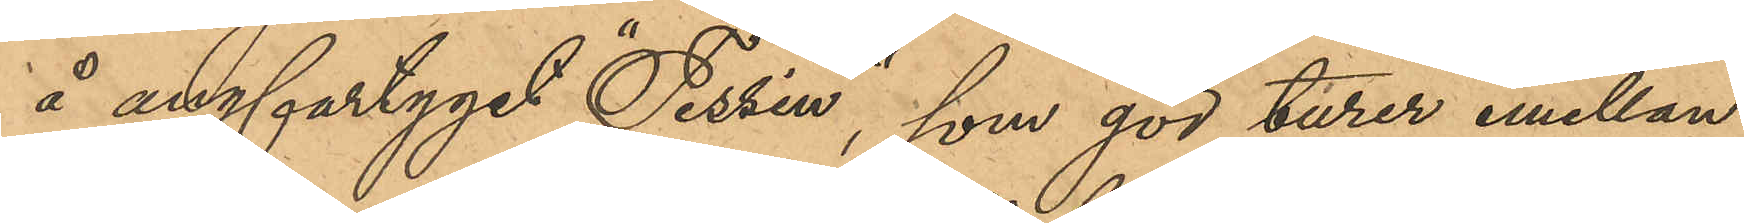å angfartyget "Tessin", som gör turer emellan
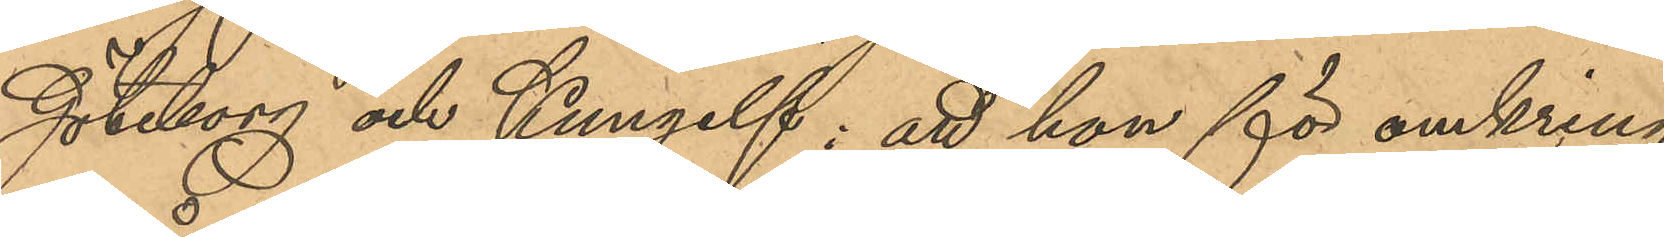Göteborg och Kungelf; att hon för omkring
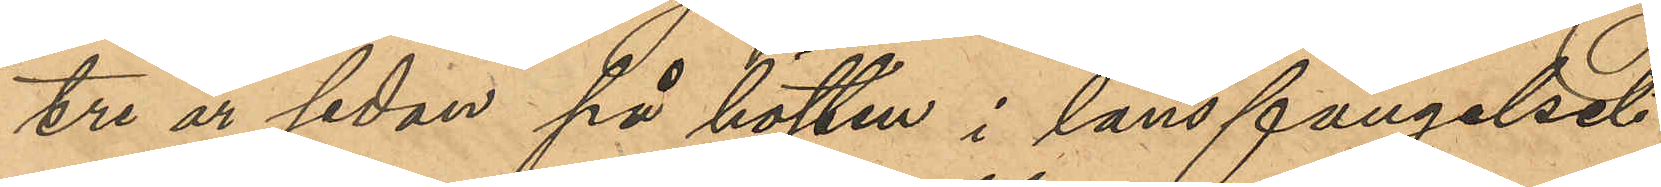tre år sedan på hösten i länsfängelset
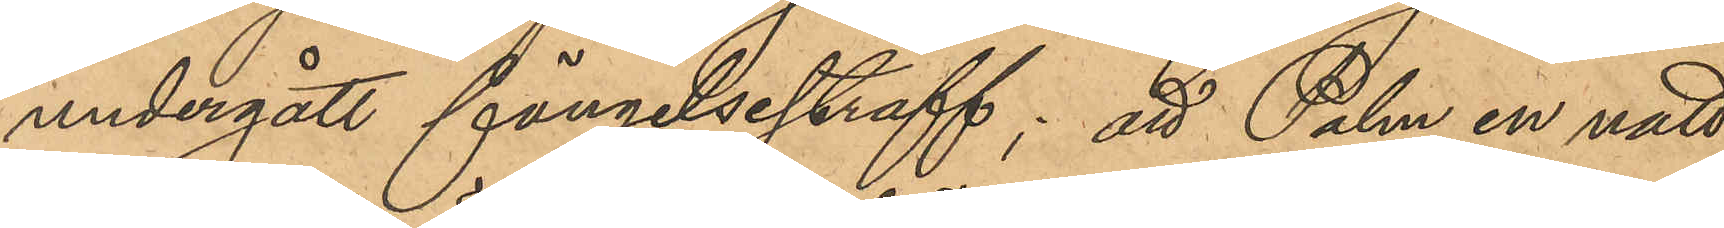undergått fängelsestraff; att Palm en natt
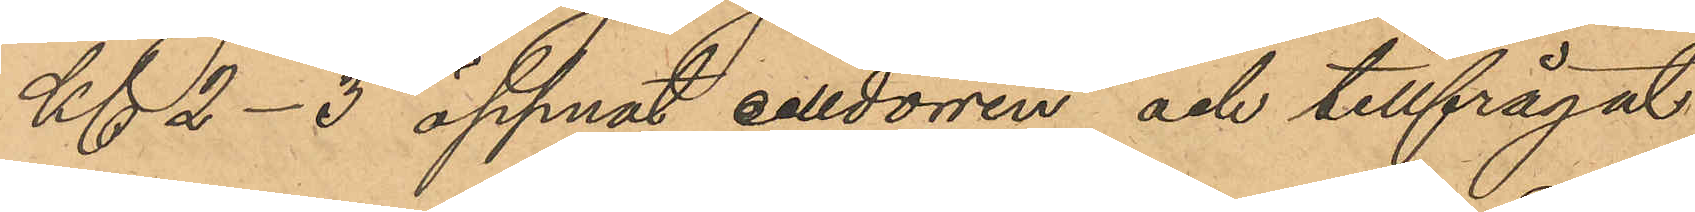Kl 2-3 öppnat celldörren och tillfrågat
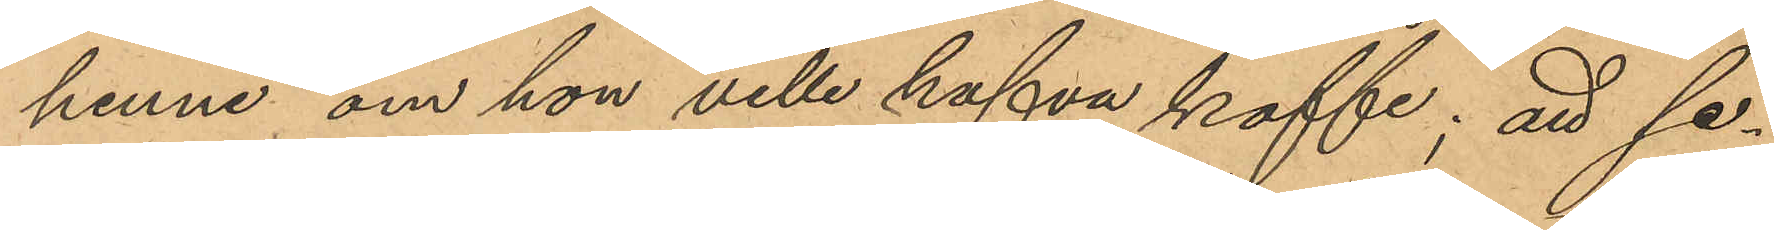henne om hon ville hafva kaffe; att se¬
